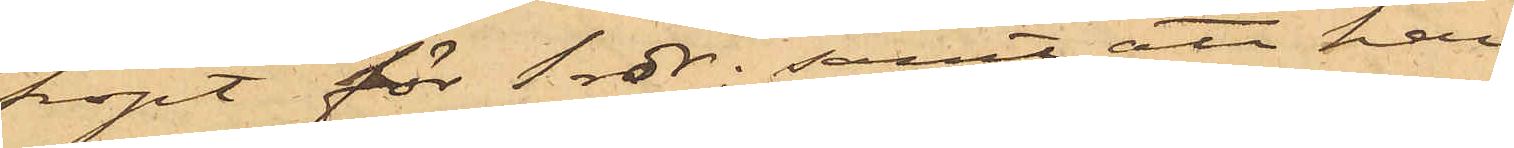köpt för 1 rdr; samt att han
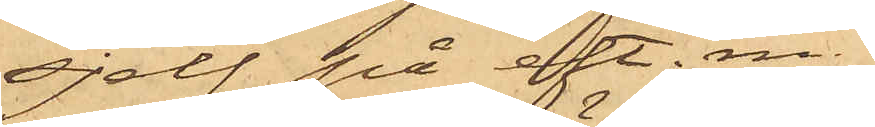sjelf på eft. m
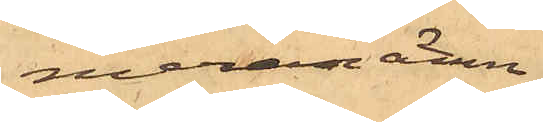meranämn¬
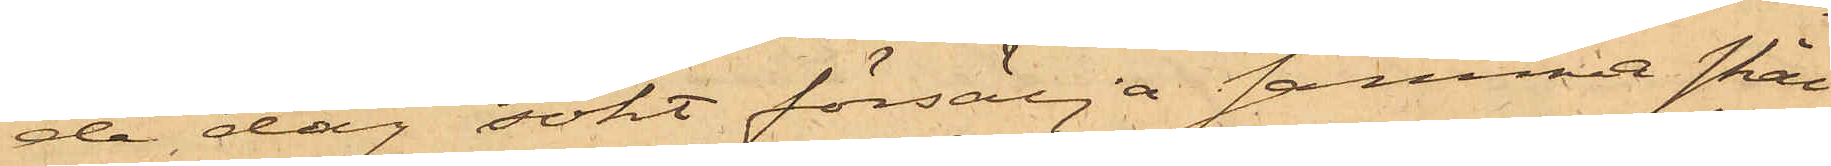de dag sökt försälja samma skål
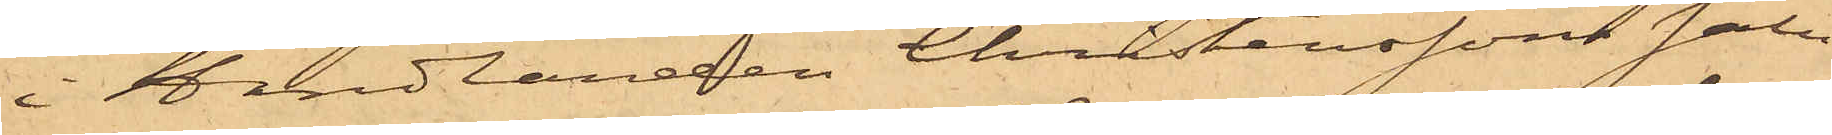i Handlanden Christenssons salu¬
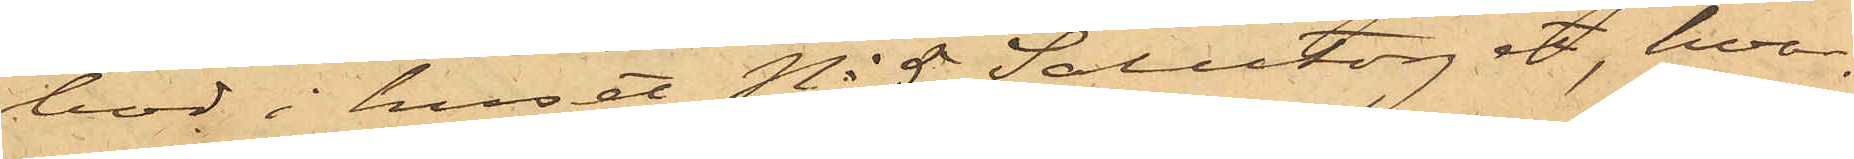bod i huset No 5 Salutorget, hvar¬
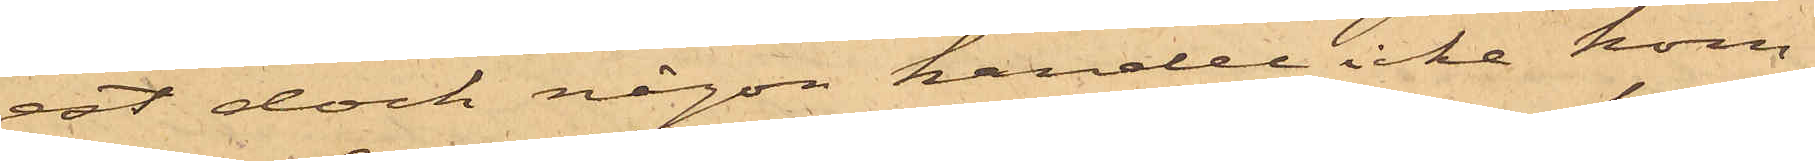est dock någon handel icke kom¬
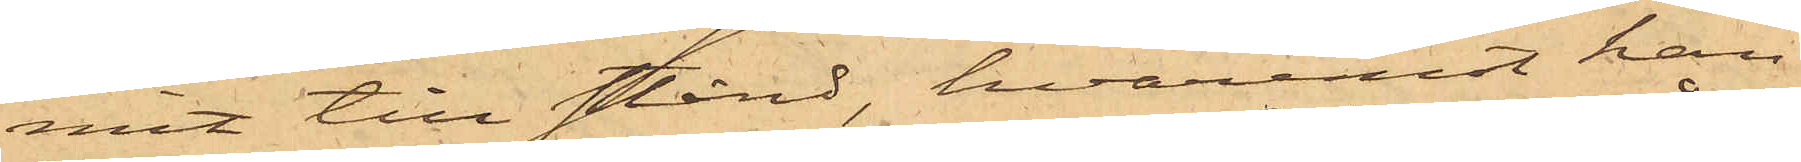mit till stånd, hvaremot han
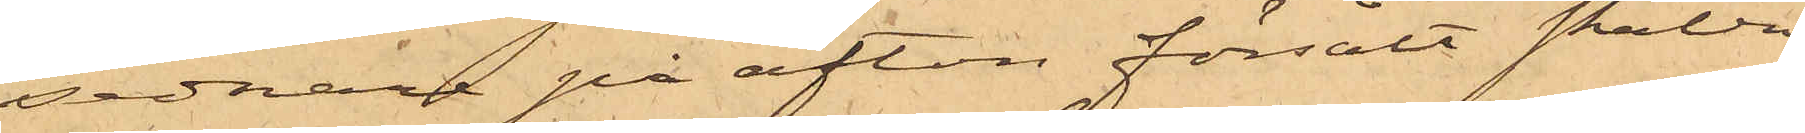sednare på afton försålt skålen
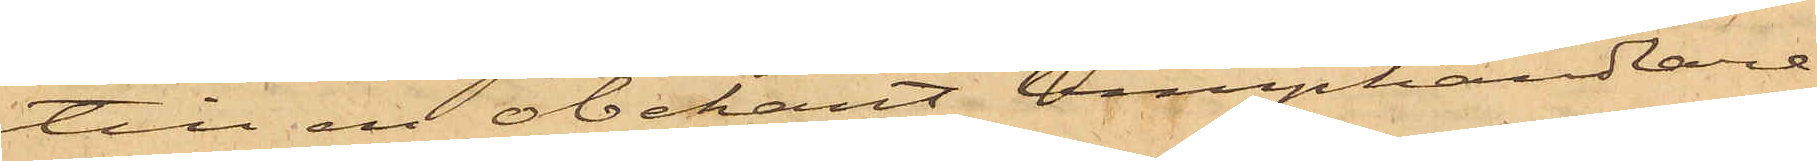till en obekant lumphandlare,
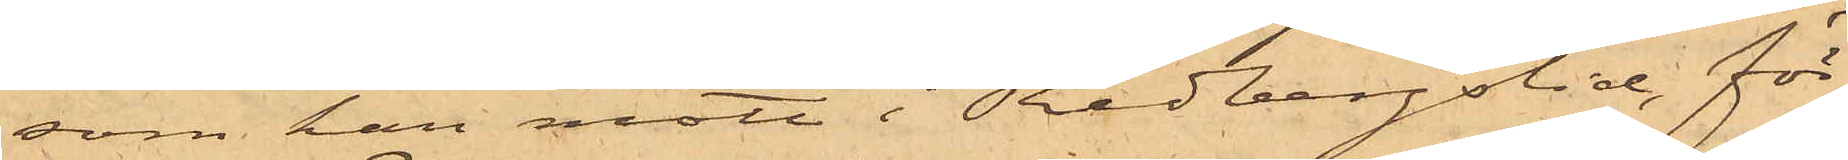som han mött i Redbergslid, för
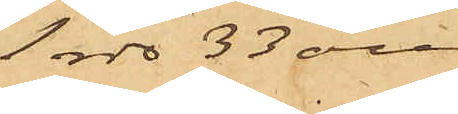1 rdr 33 öre
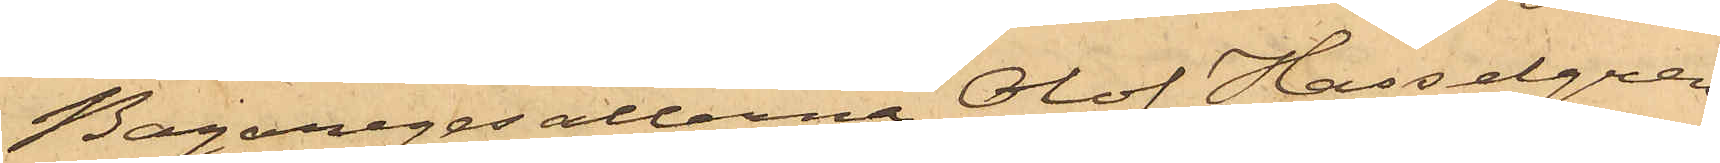Bagaregesällerna Olof Hasselgren
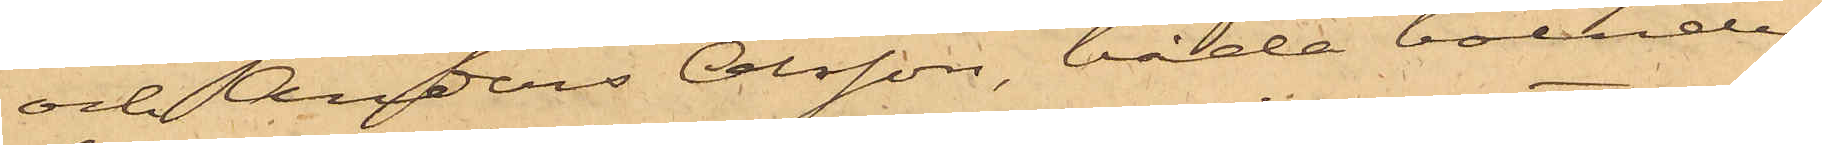och Anders Olsson, båda boende
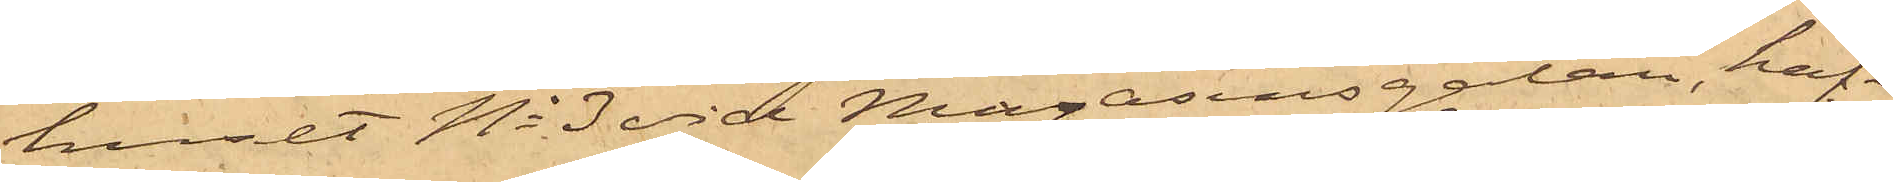huset No 3 vid Magasinsgatan, haf¬
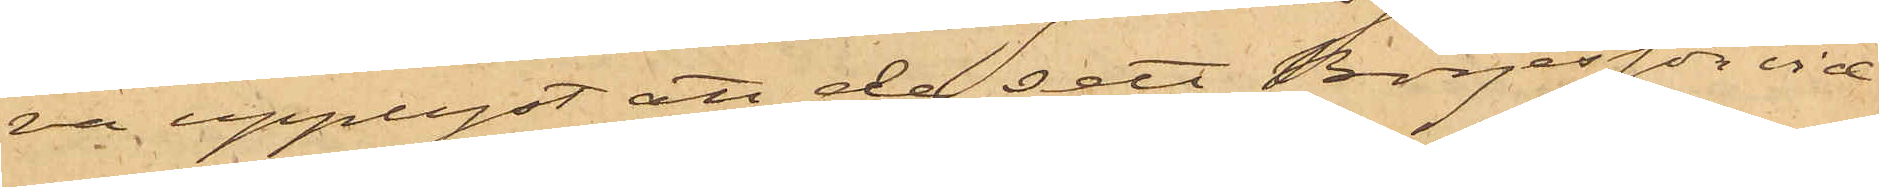va upplyst, att de sett Börjesson vid
